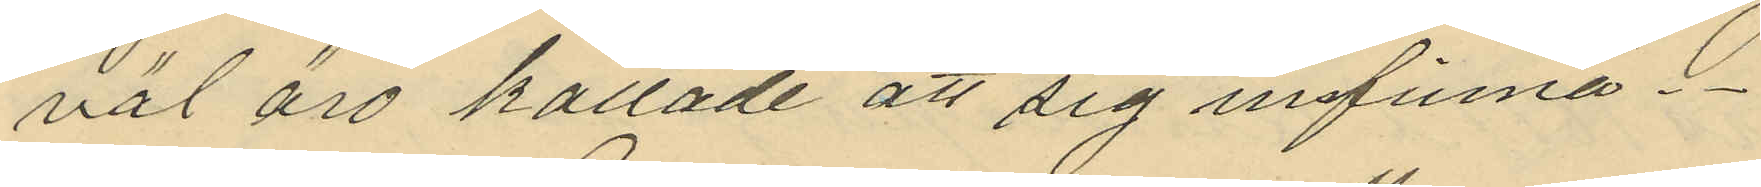väl äro kallade att sig infinna.
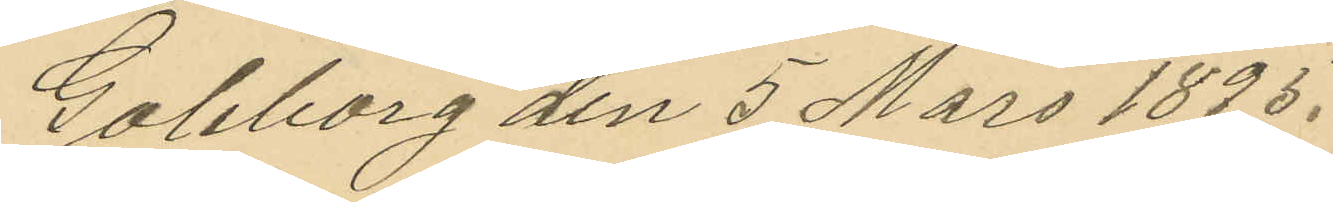Göteborg den 5 Mars 1895.
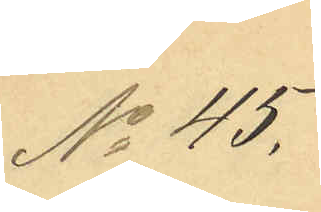No 45.
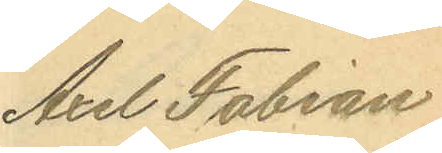Axel Fabian
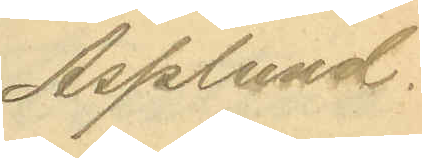Asplund.
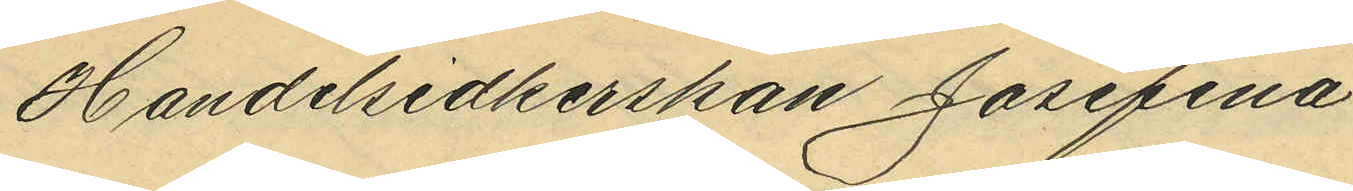Handelsidkerskan Josefina
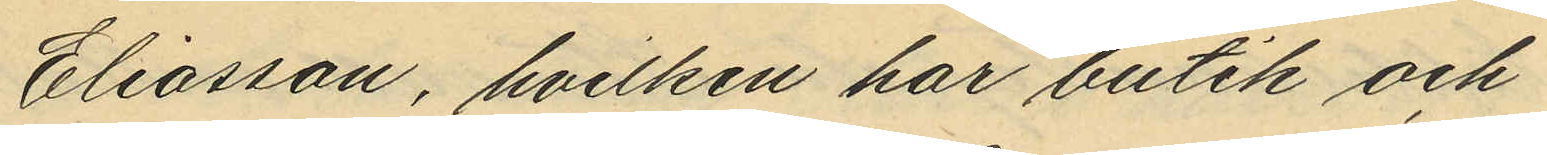Eliasson, hvilken har butik och
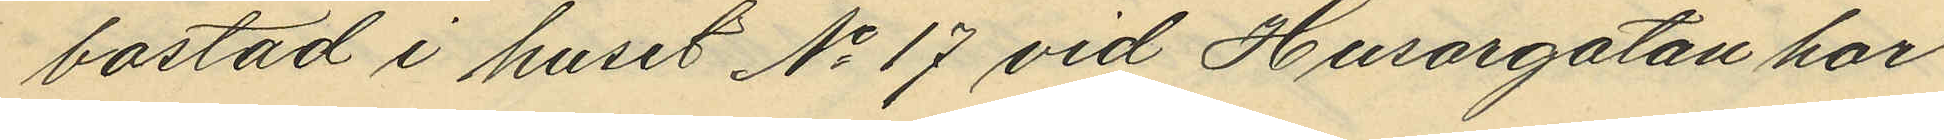bostad i huset No 17 vid Husargatan har
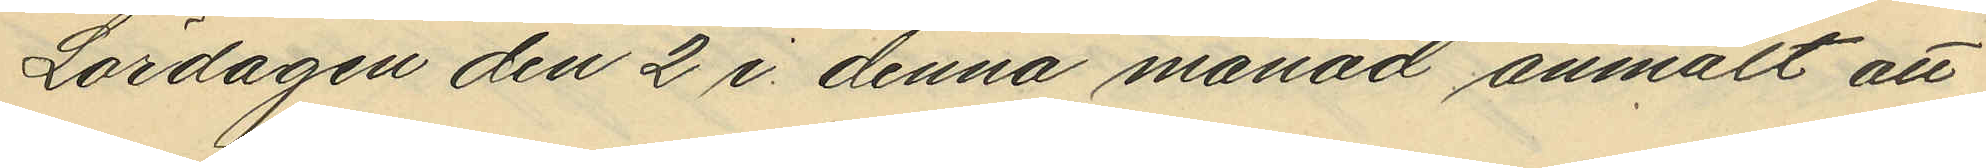Lördagen den 2 i denna månad anmält att
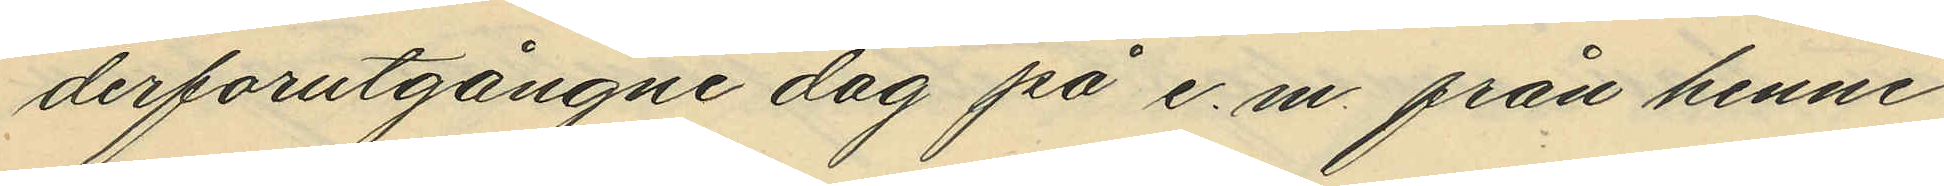derförutgångne dag på e.m. från henne
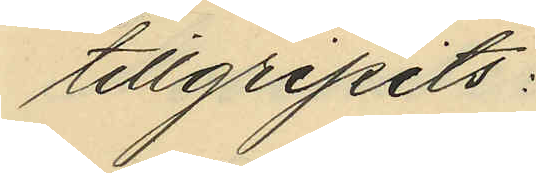tillgripits:
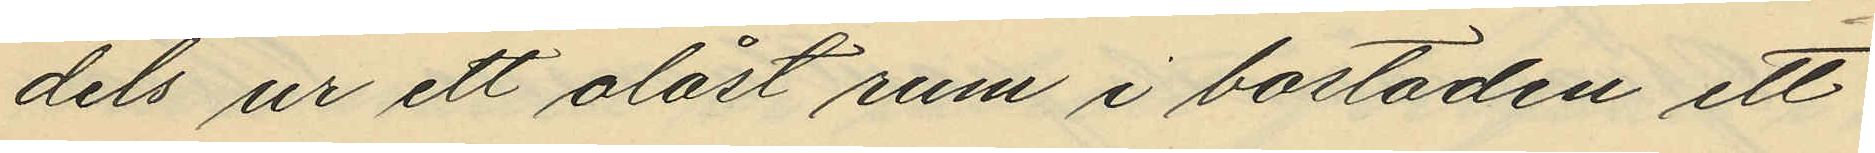dels ur ett olåst rum i bostaden ett
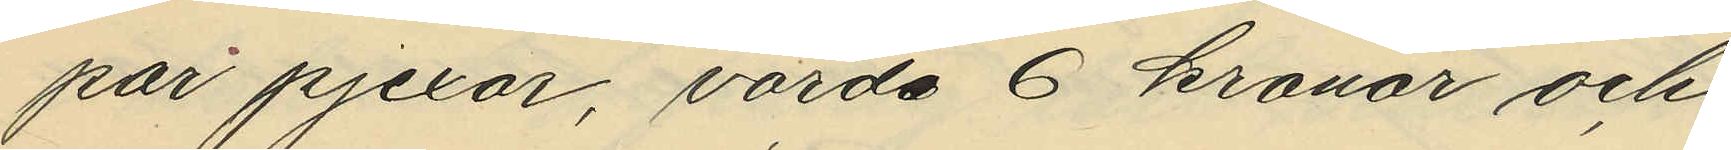par pjexor, värda 6 kronor och
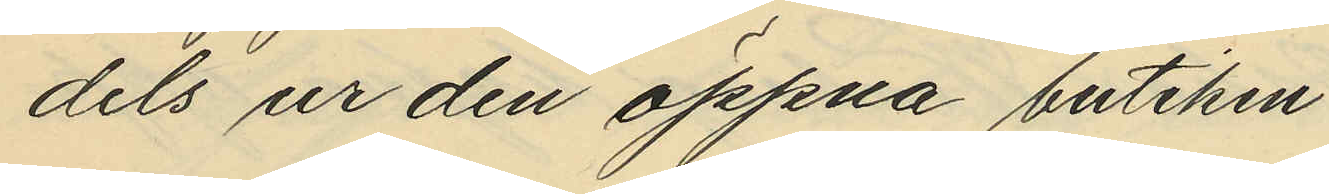dels ur den öppna butiken
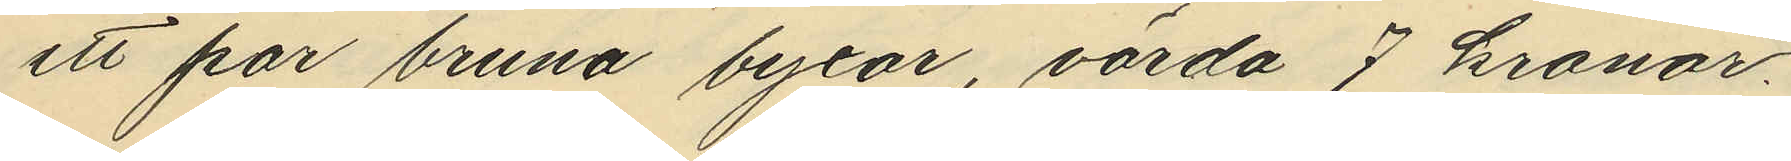ett par bruna byxor, värda 7 kronor.
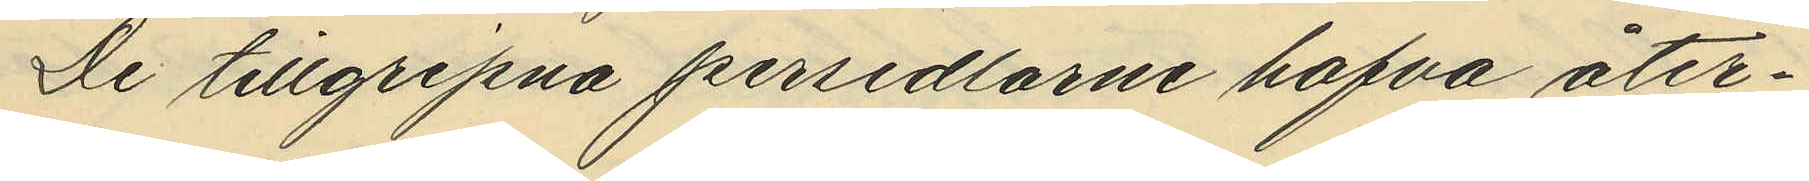De tillgripna persedlarne hafva åter¬
